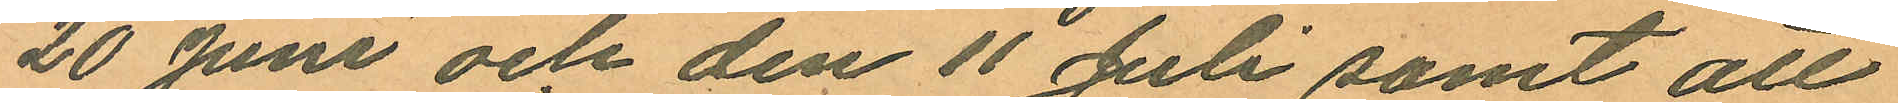20 Juni och den 11 Juli samt att
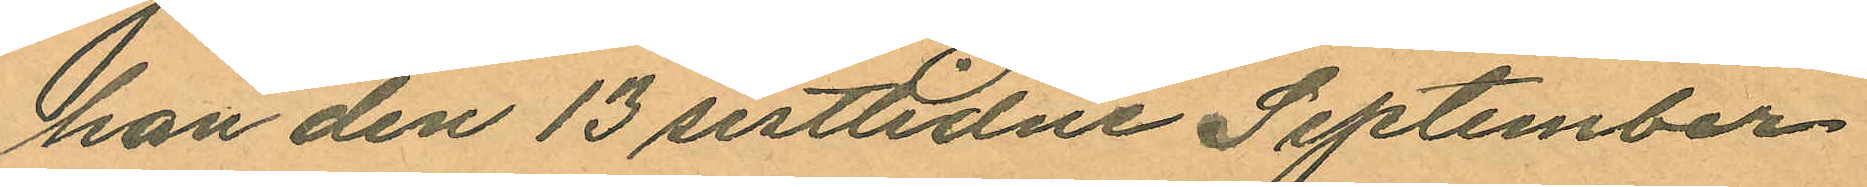han den 13 sistlidne September
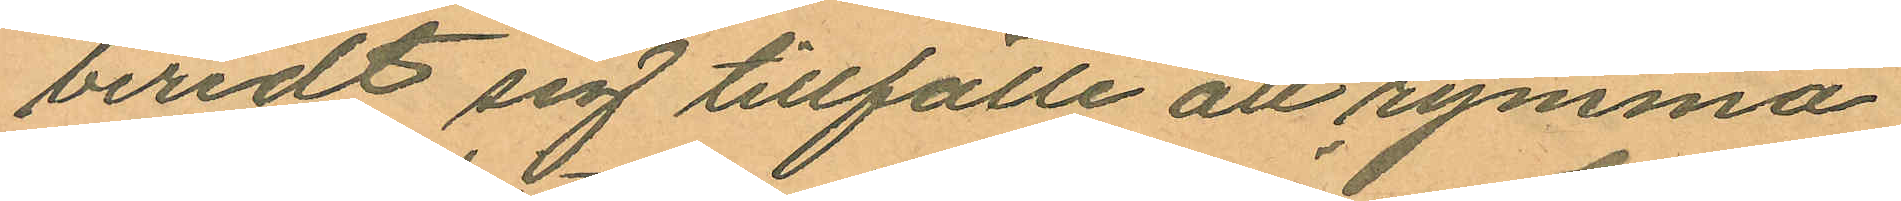beredt sig tillfälle att rymma
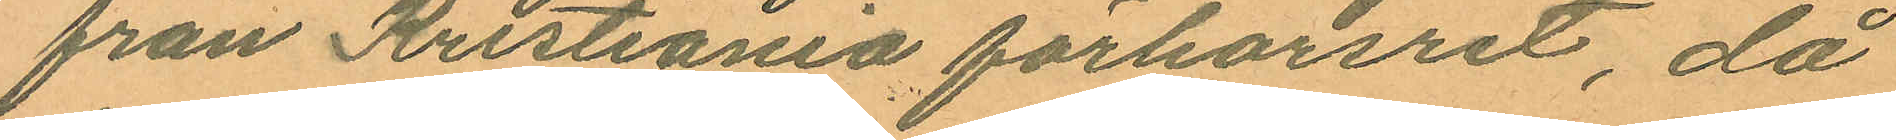från Kristiania förhörsret, då
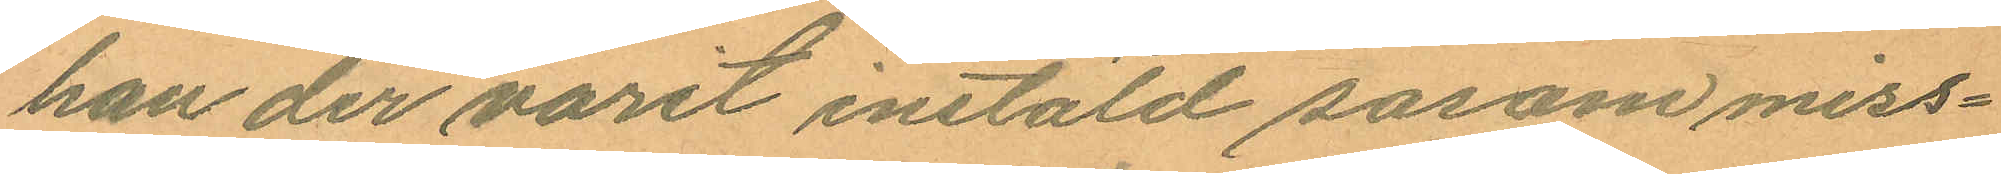han der varit instäld sasom miss¬
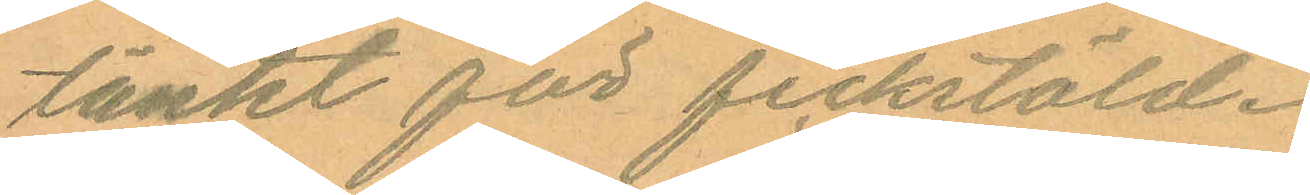tänkt för fickstöld.
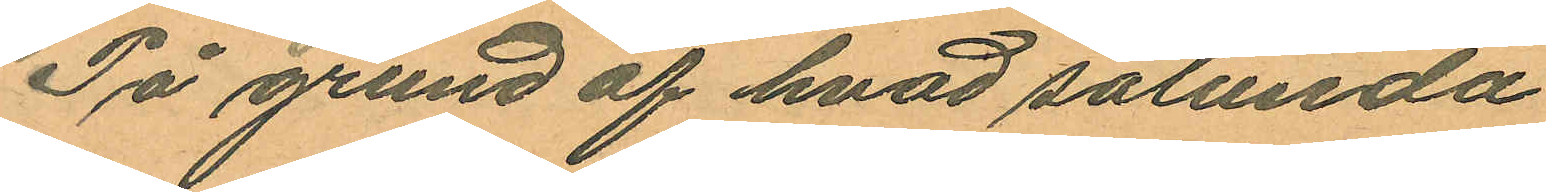På grund af hvad sålunda
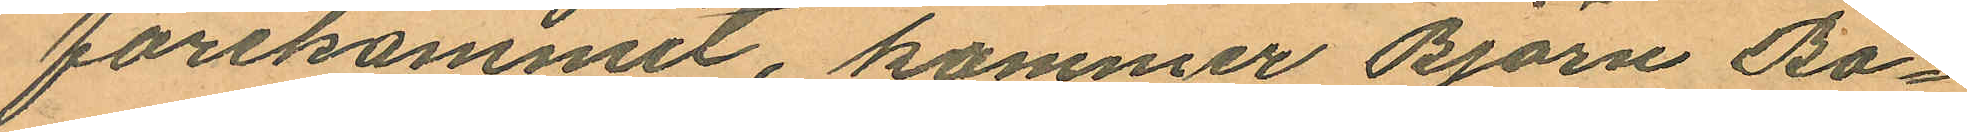förekommit, kommer Björn Bo¬
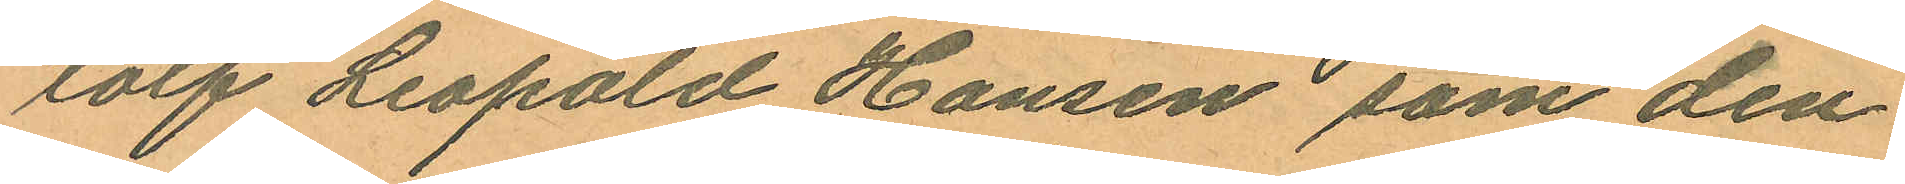tolf Leopold Hansen som den
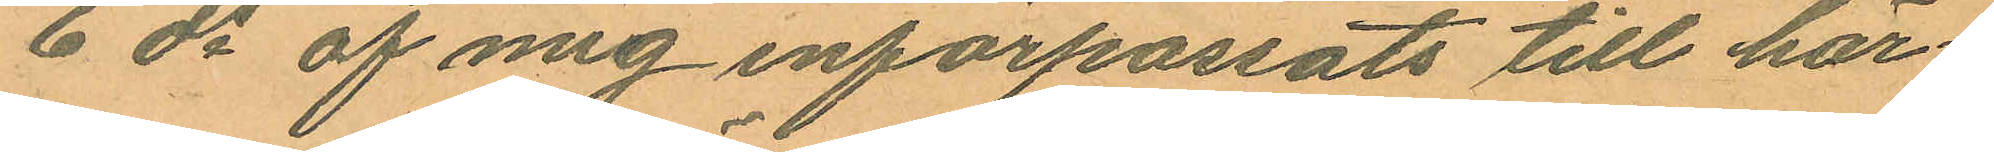6 ds af mig införpassats till här¬
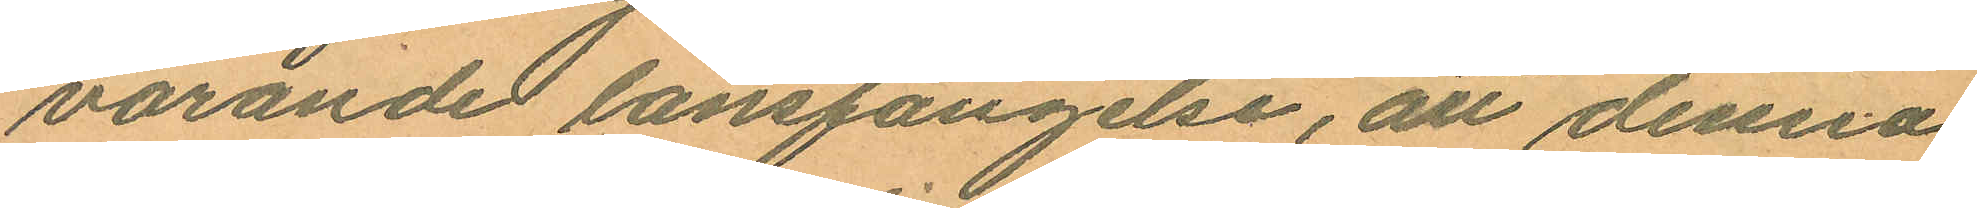varande länsfängelse, att denna
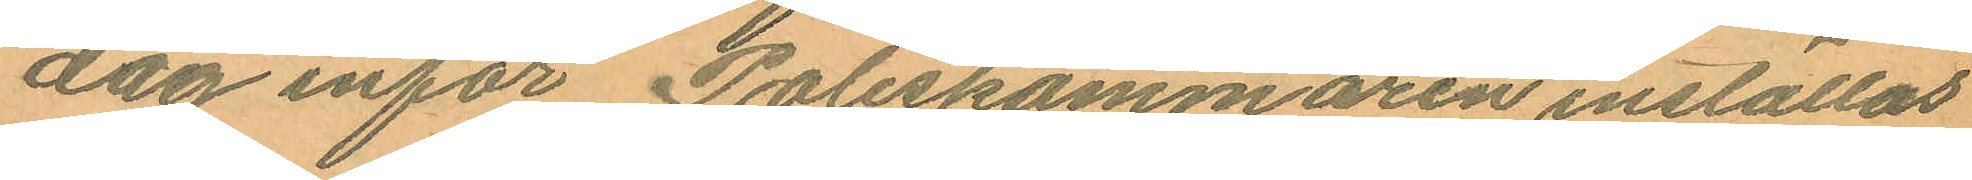dag inför Poliskammaren inställas
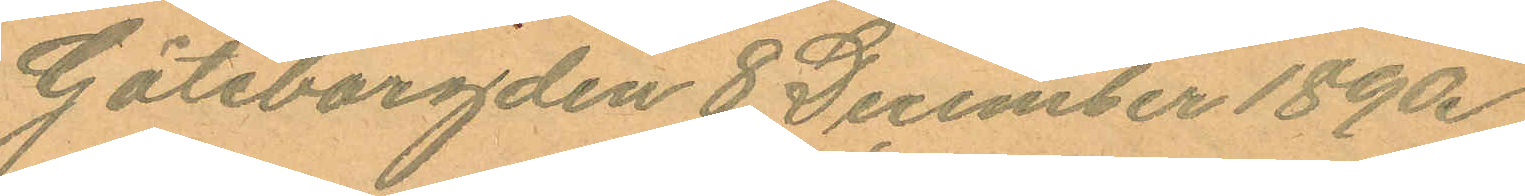Göteborg den 8 December 1890.
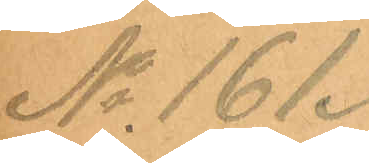No 161.
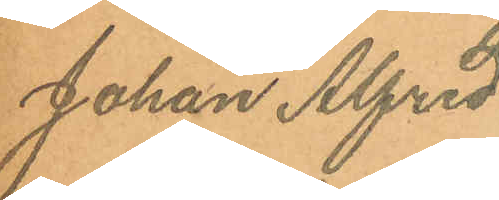Johan Alfred
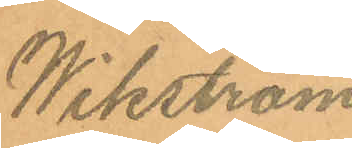Wikström
